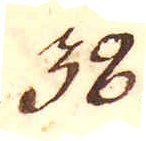38.
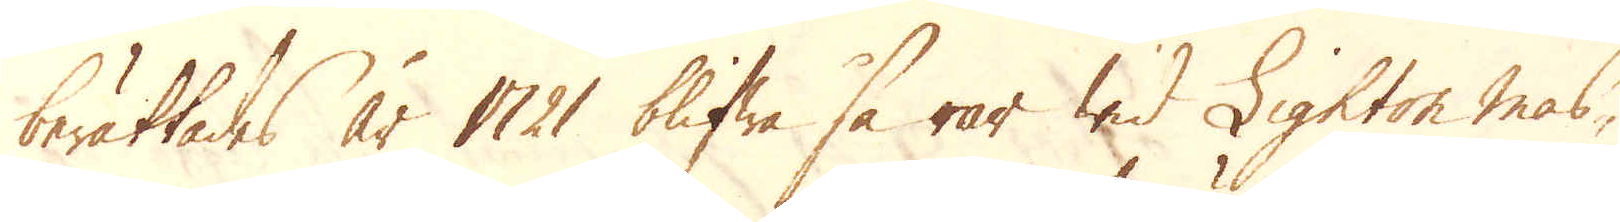berättades år 1721 blifwa så rar wid Lighton mas-
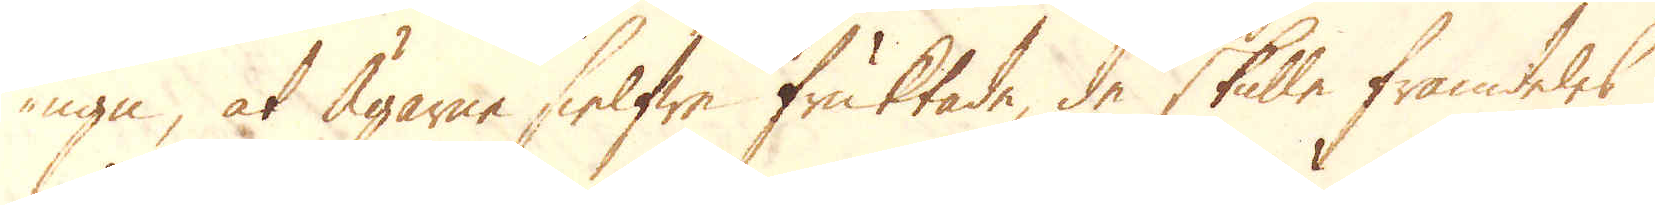ugn, at Ägarne sielfwe fruktade, de skulle framdeles
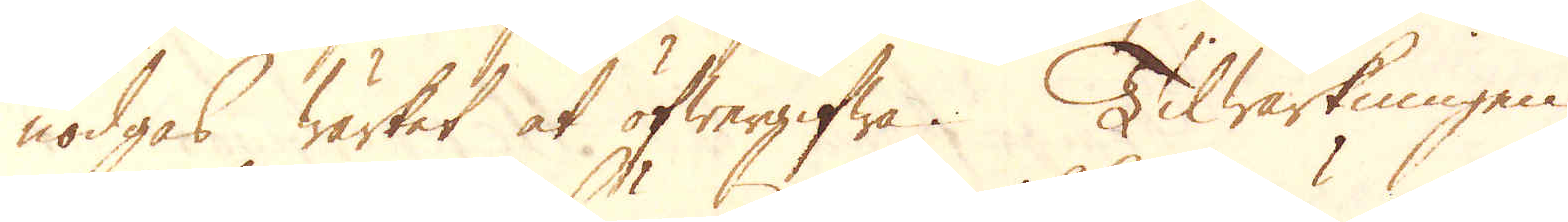nödgas wärket at öfwergifwa. Tilwärkningen
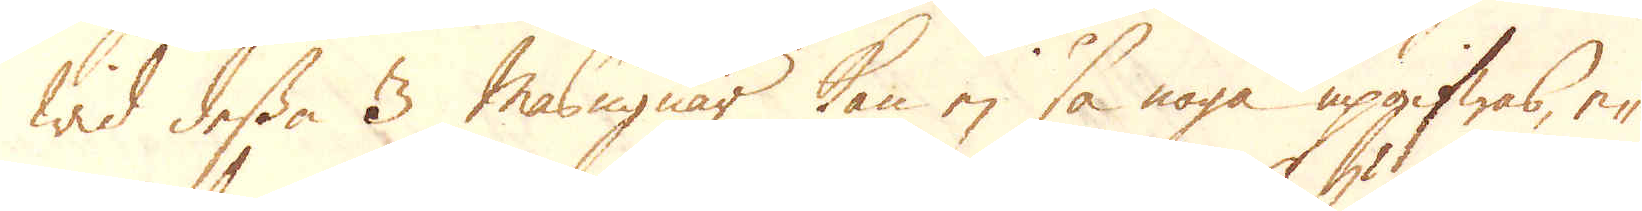wis dessa 3 masugnar kan ej så noga uppgifwas, e-
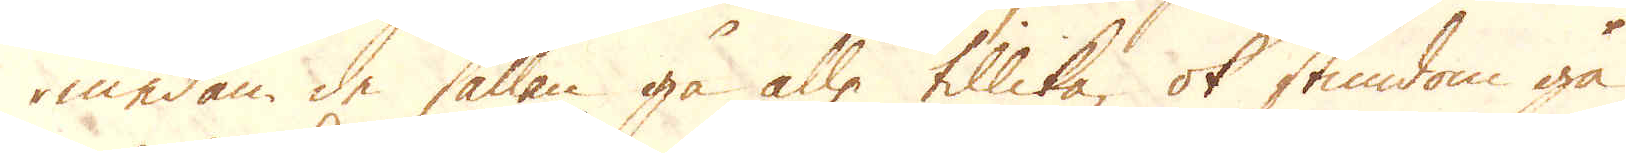medan de sällan gå alle tillika, ok stundom gå
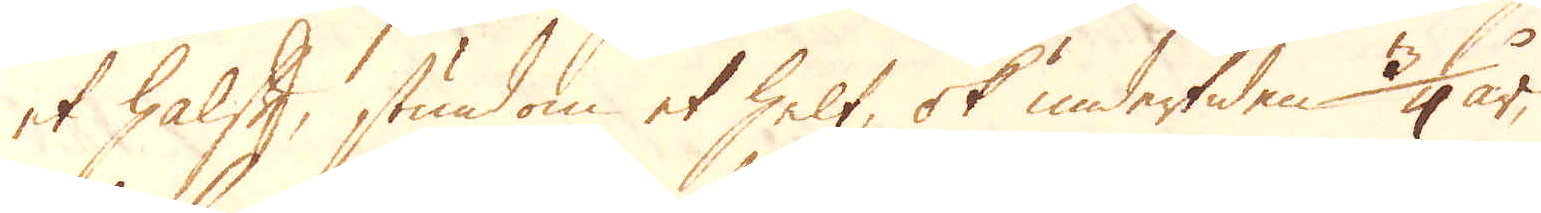et halft, stundom et helt, ok undertiden 3/4 år,
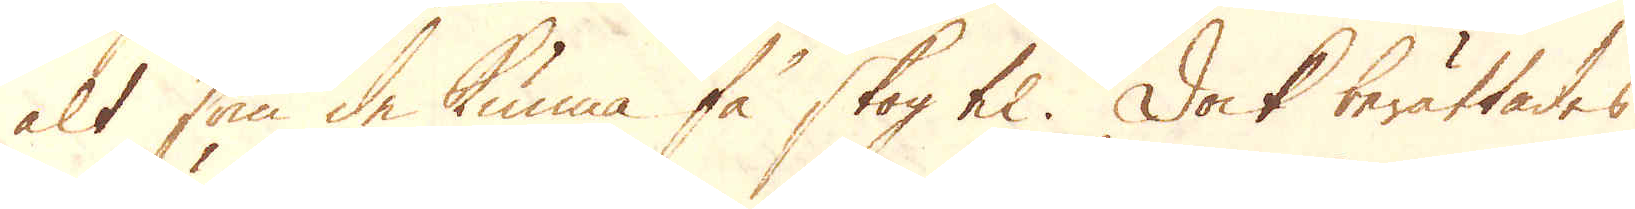alt som de kunna få skog til. Dock berättades
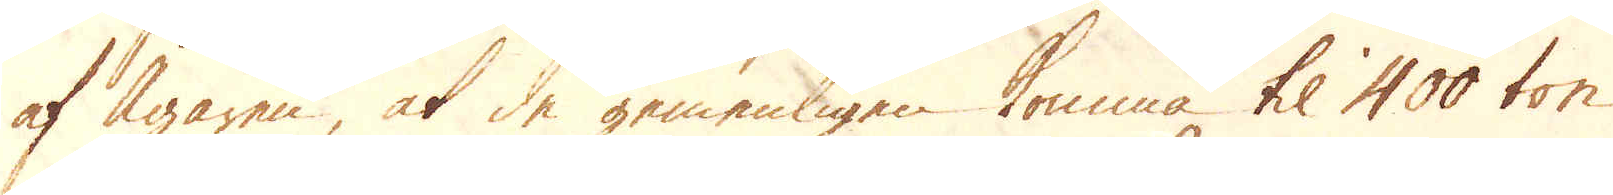af Ägaren, at de gemenligen komma til 400 ton
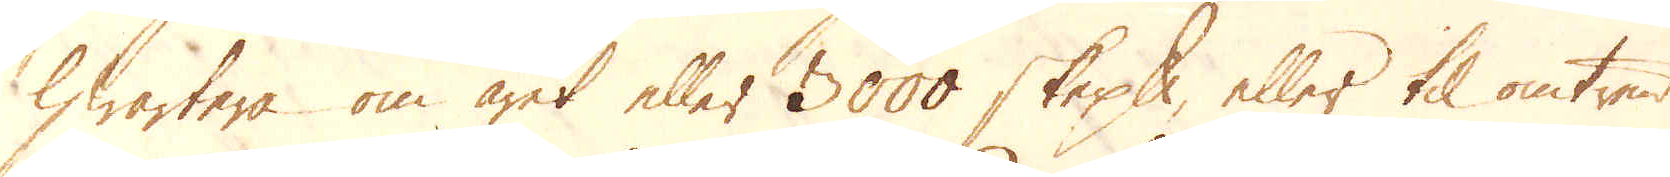hwartera om året eller 3000 skeppund, eller til omtrent
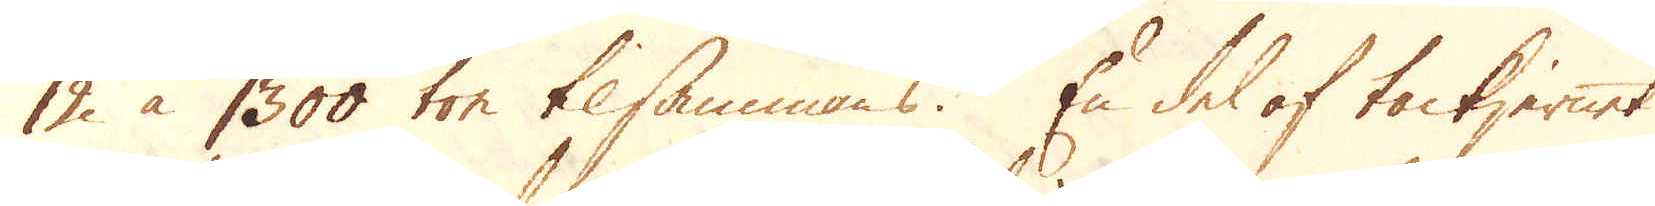12 à 1300 ton tilsammans. En del af tackjernet
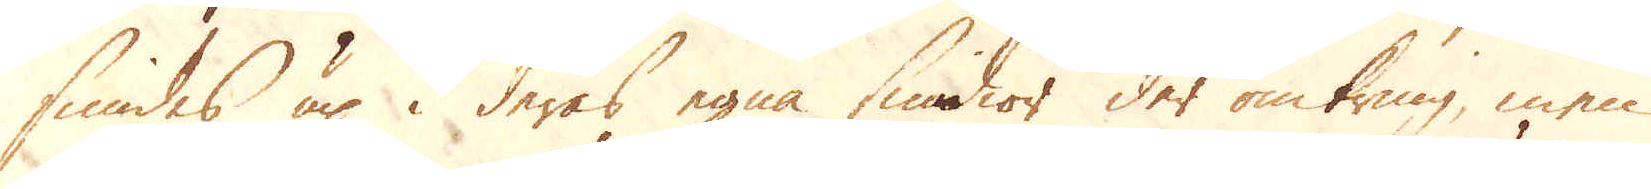smides up i deras egna smidior der omkring, men
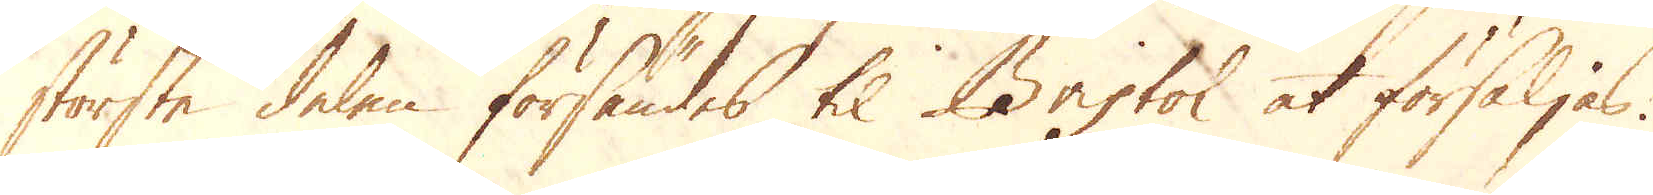största delen försändes til Bristol at försäljas.
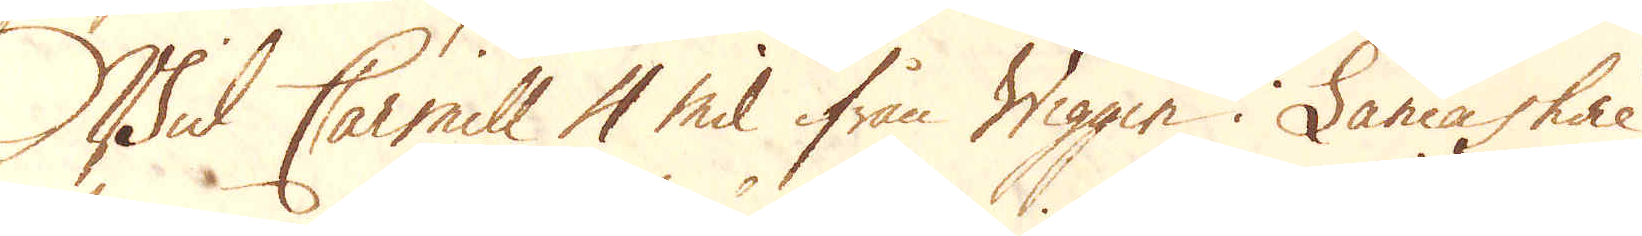Wid Carmill 4 mil ifrån Wiggin i Lancashire
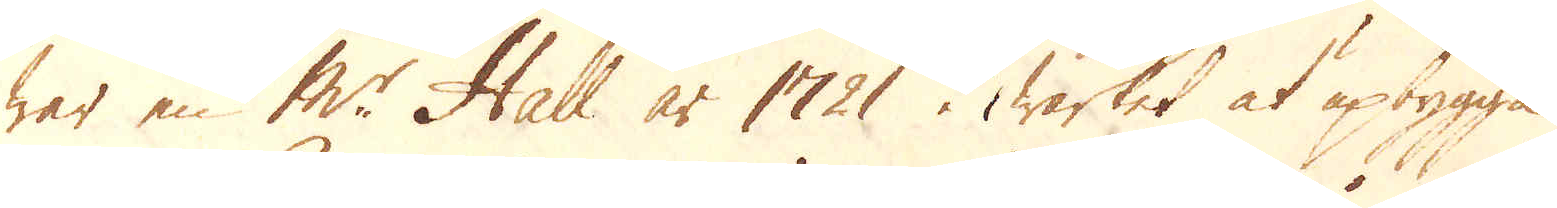war en Mr: Hall år 1721 i wärket at upbygga
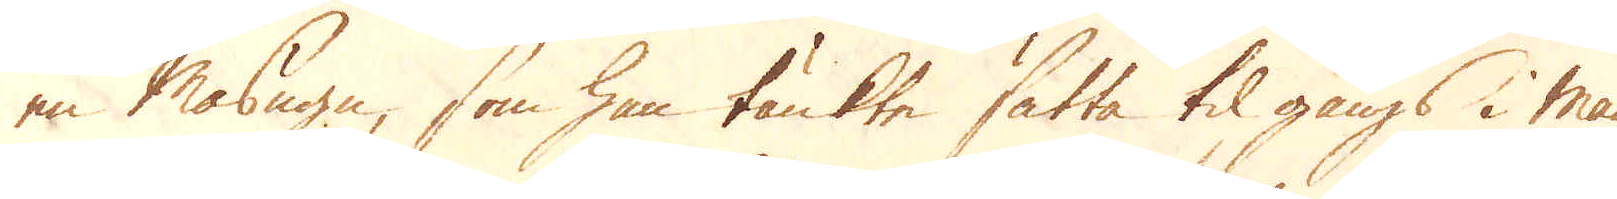en Masugn, som han tänkte sätta til gångs i maij
